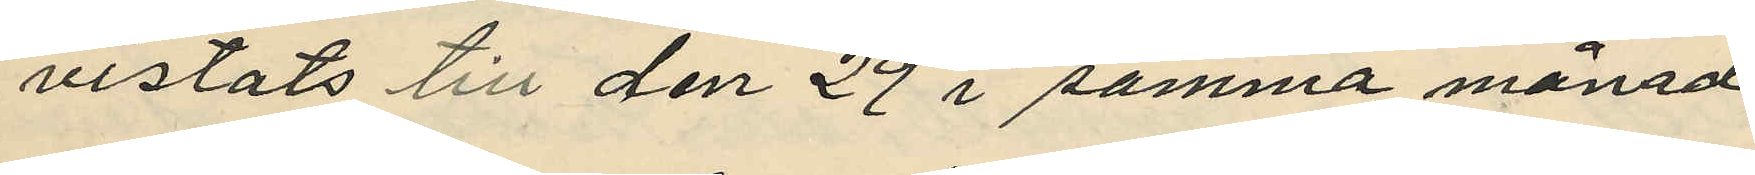vistats till den 29 i samma månad
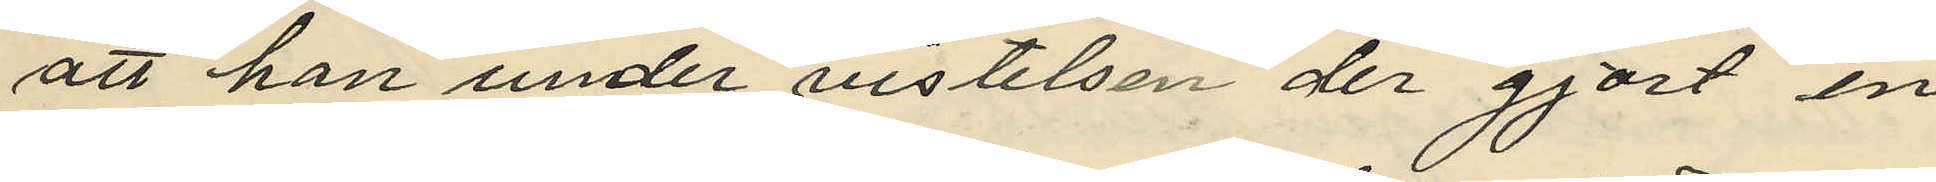att han under vistelsen der gjort en
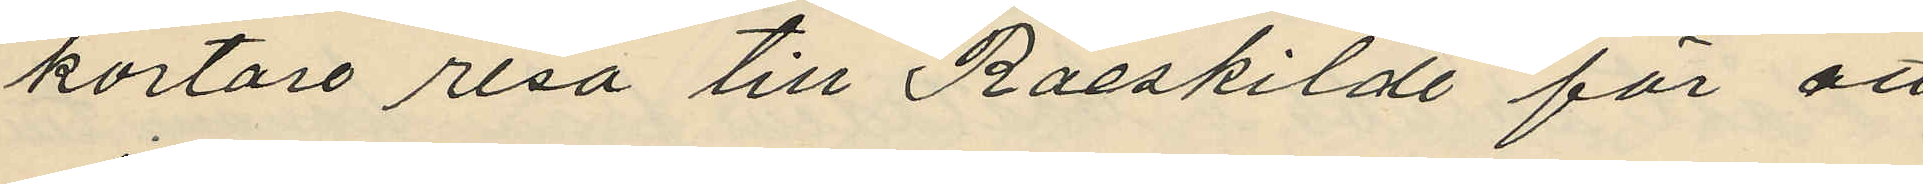kortare resa till Raeskilde för att
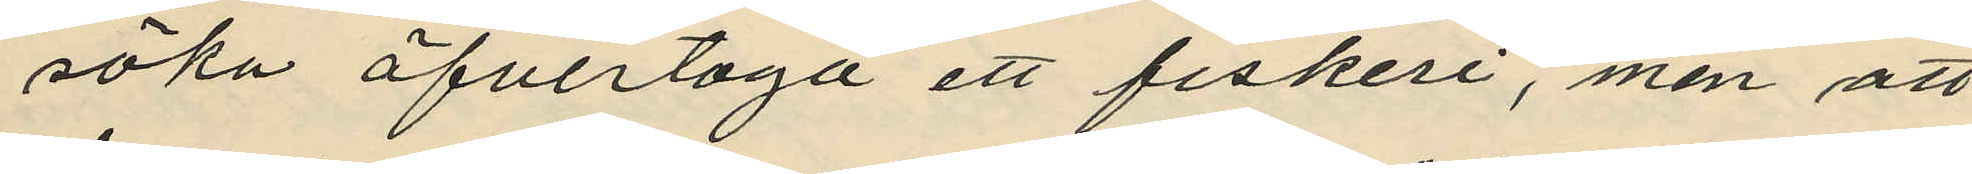söka öfvertaga ett fiskeri, men att
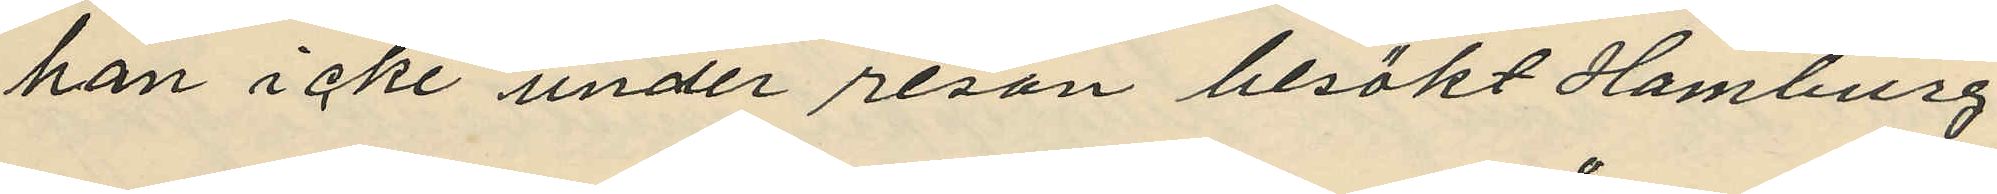han icke under resan besökt Hamburg.
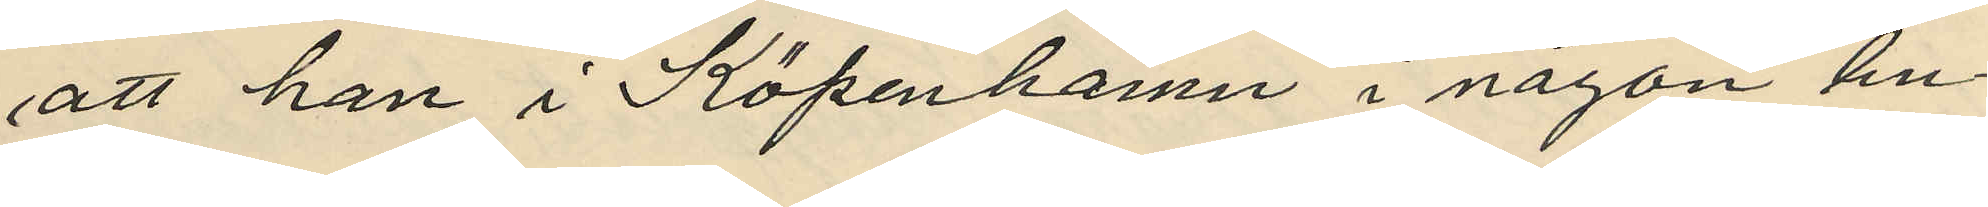att han i Köpenhamn i någon bu¬
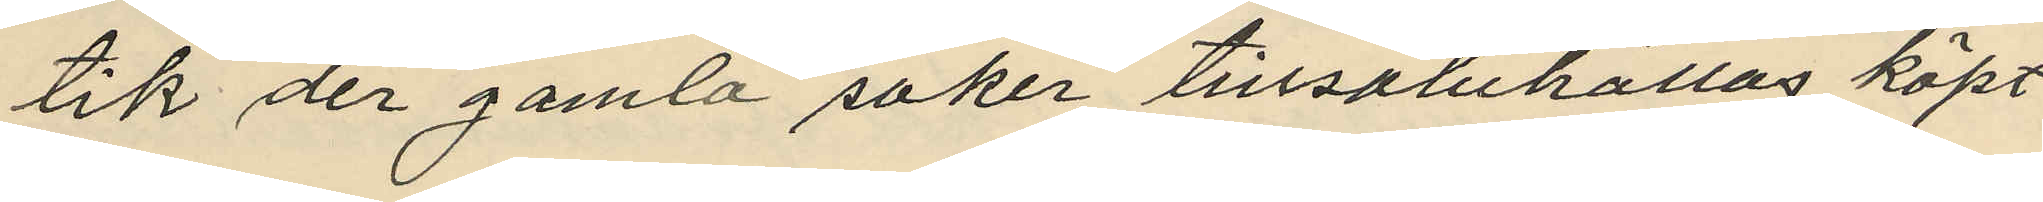tik der gamla saker tillsaluhållas köpt
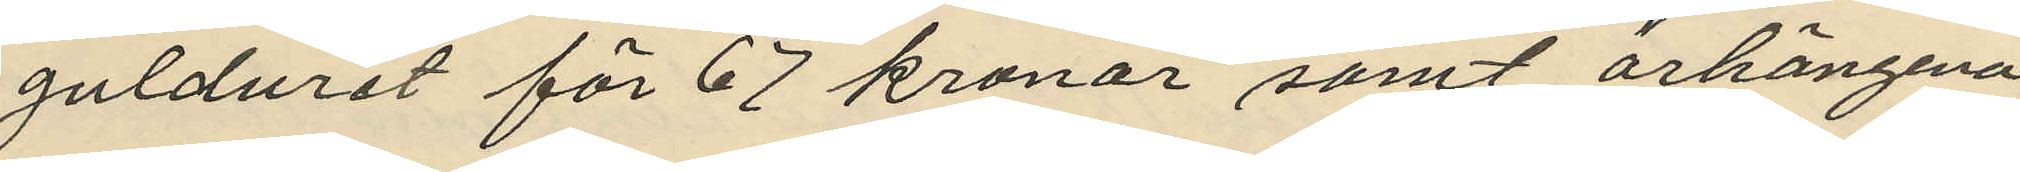gulduret för 67 kronor samt örhängena
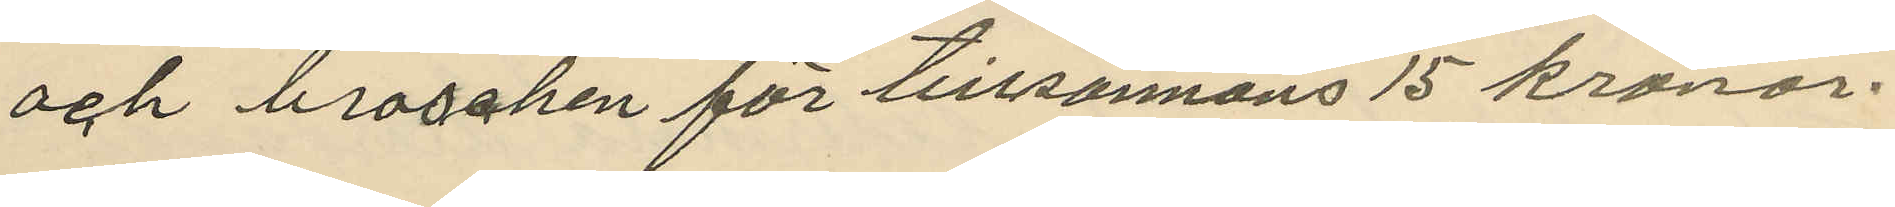och broschen för tillsammans 15 kronor.
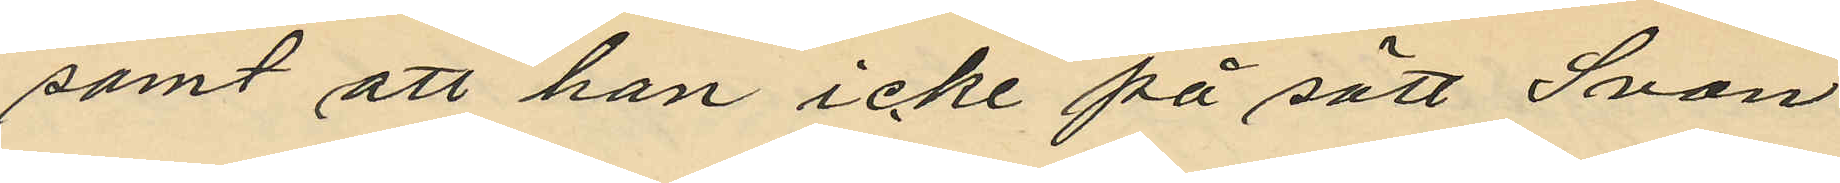samt att han icke på sätt Svan 
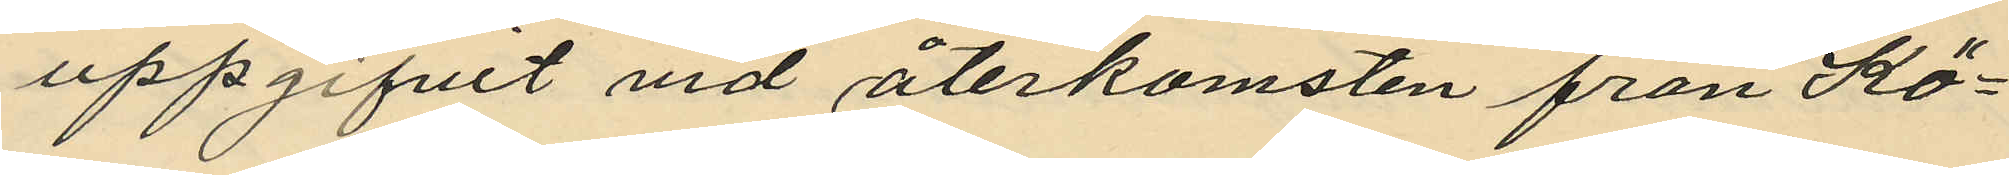uppgifvit vid återkomsten från Kö¬
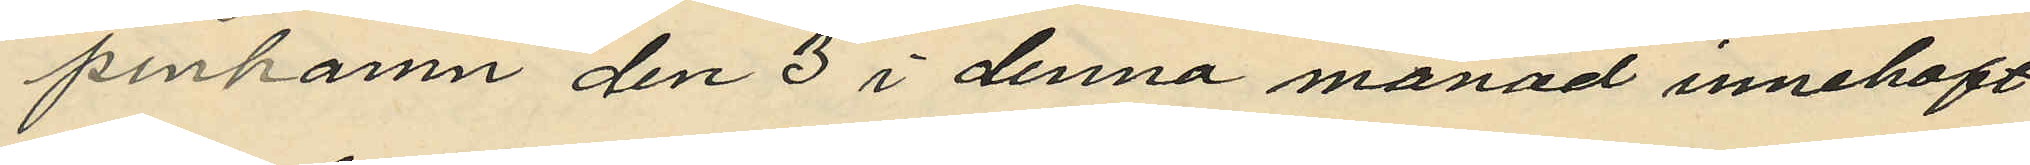penhamn den 3 i denna månad innehaft
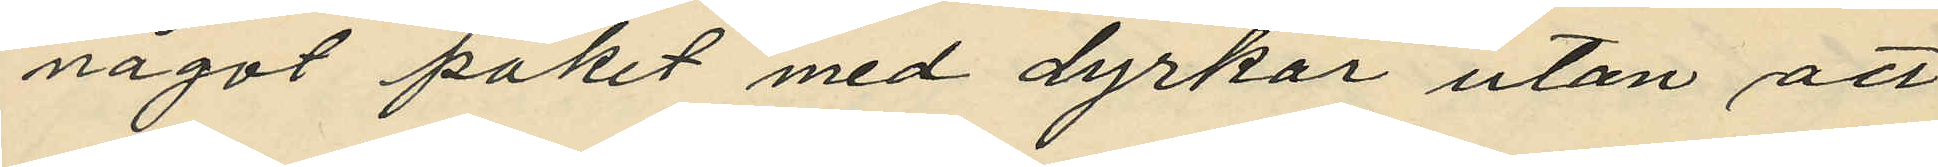något paket med dyrkar utan att
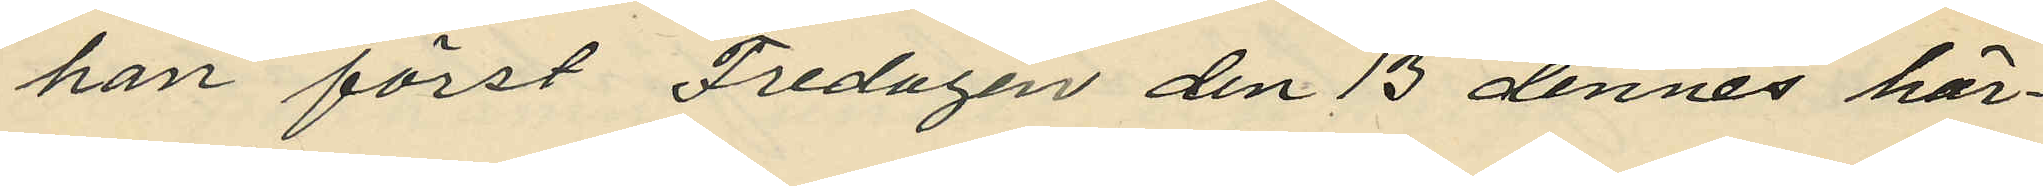han först Fredagen den 13 dennes här¬
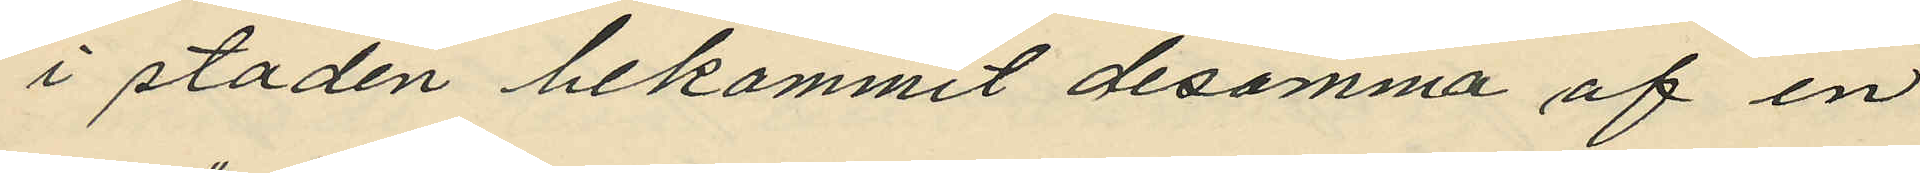i staden bekommit desamma af en
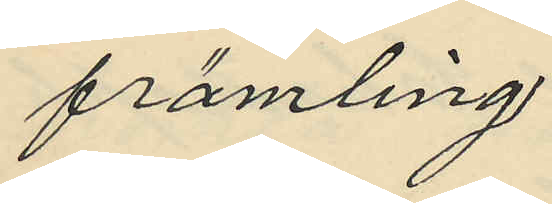främling.
